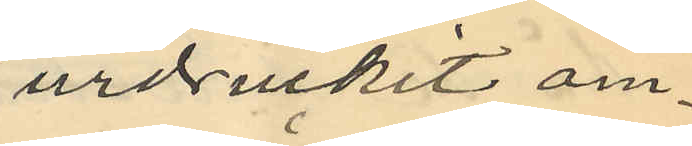urdruckit om¬
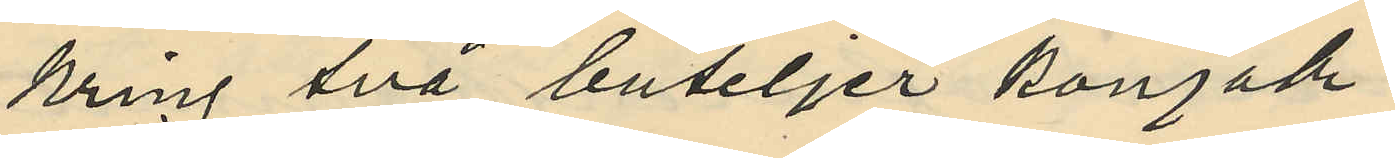kring två buteljer konjak
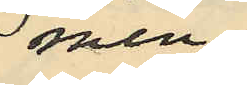men
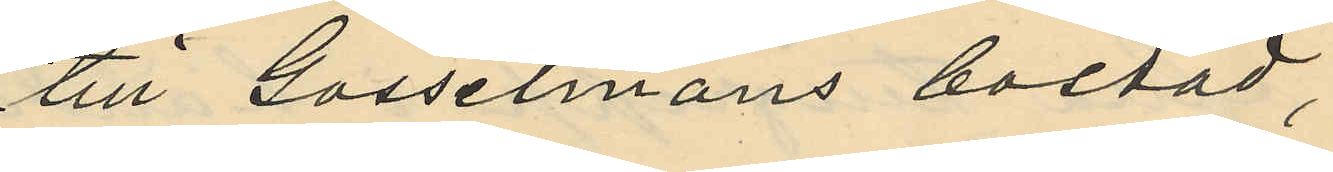till Gosselmans bostad,
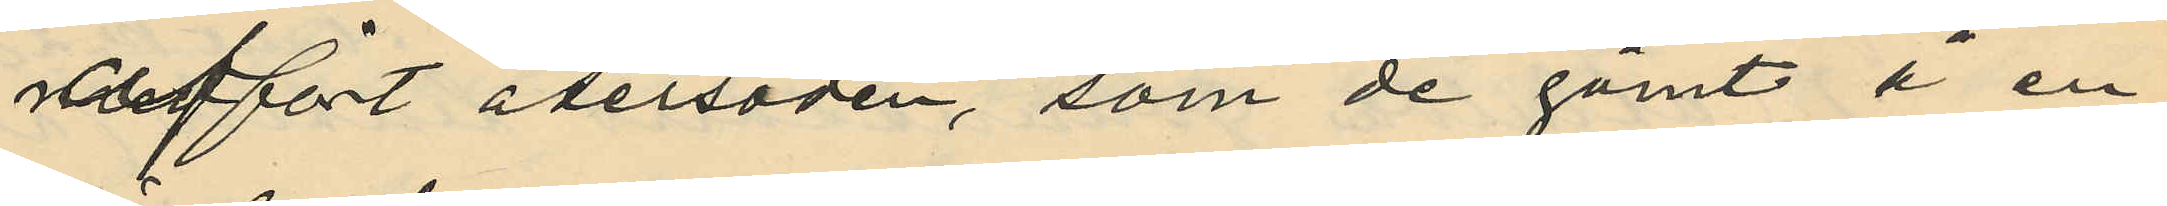medfört återsoden, som de gömt å en
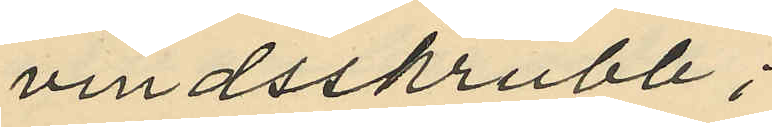vindsskrubb;
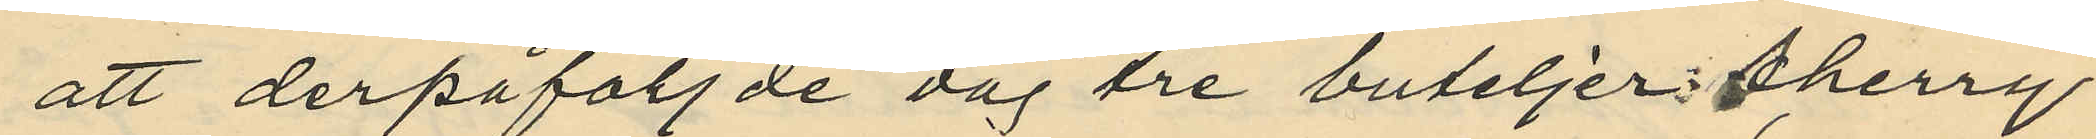att derpåföljde dag tre buteljer i sherry
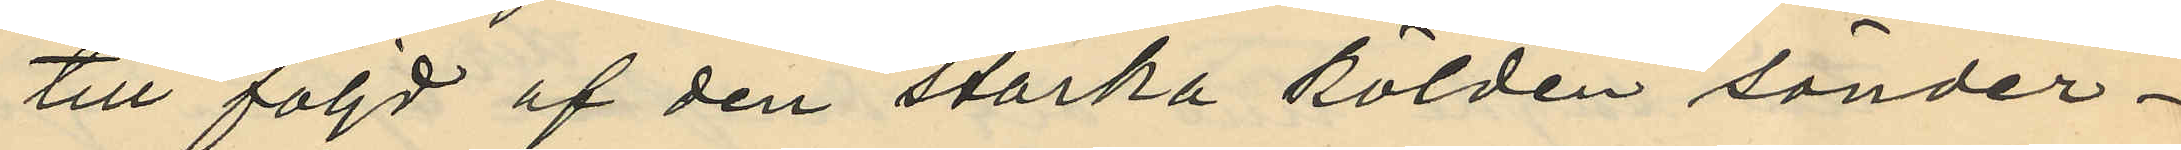till följd af den starka kölden sönder¬
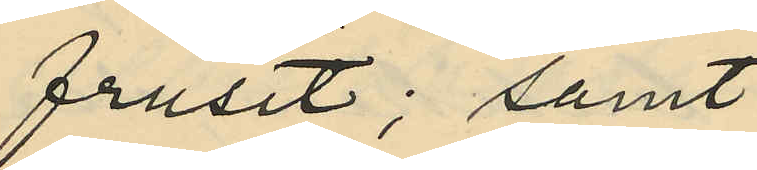frusit; samt
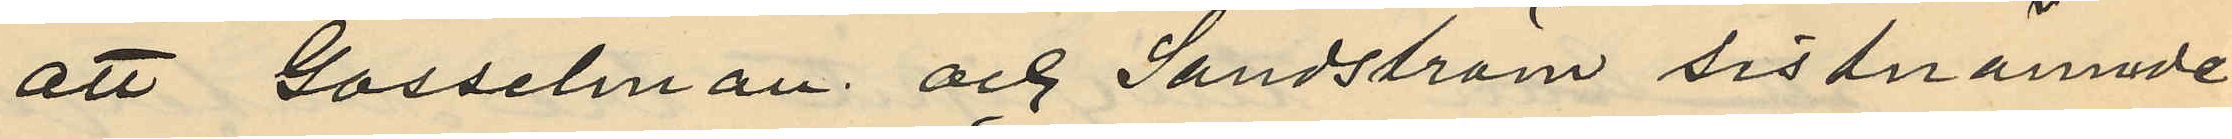att Gosselman och Sandström sistnämnde
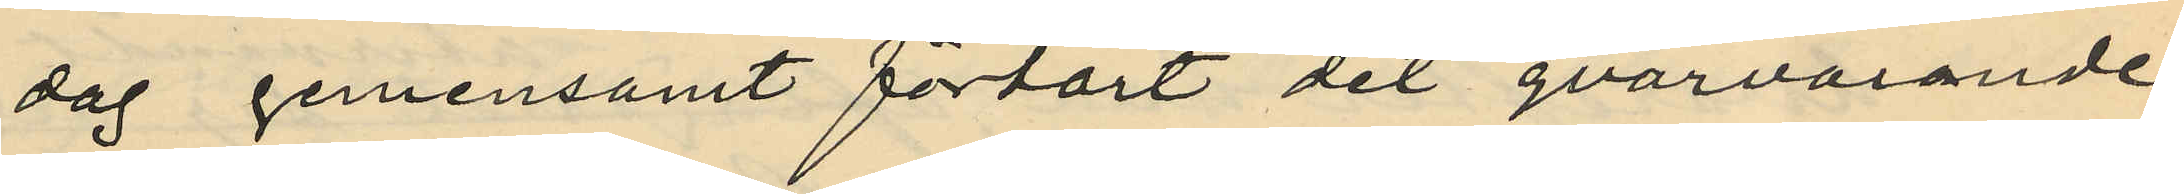dag gemensamt förtärt det qvarvarande
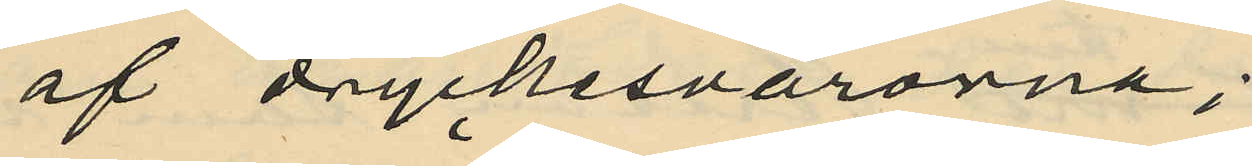af dryckesvarorna;
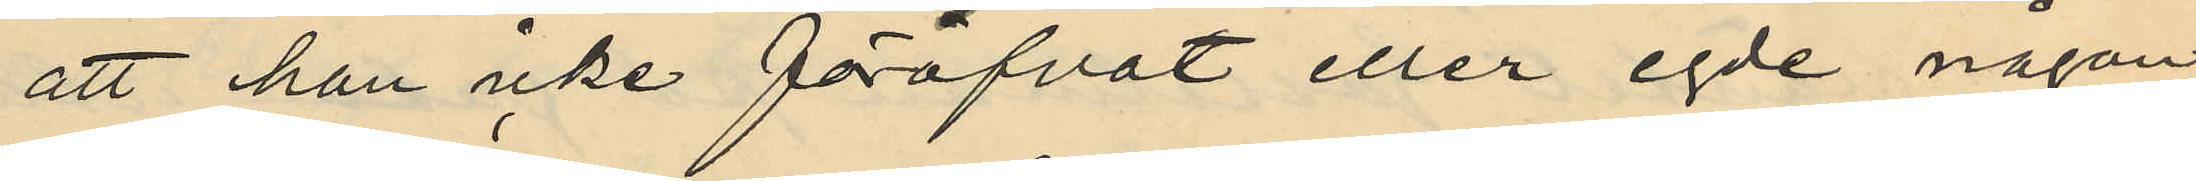att han icke föröfvat eller egde någon
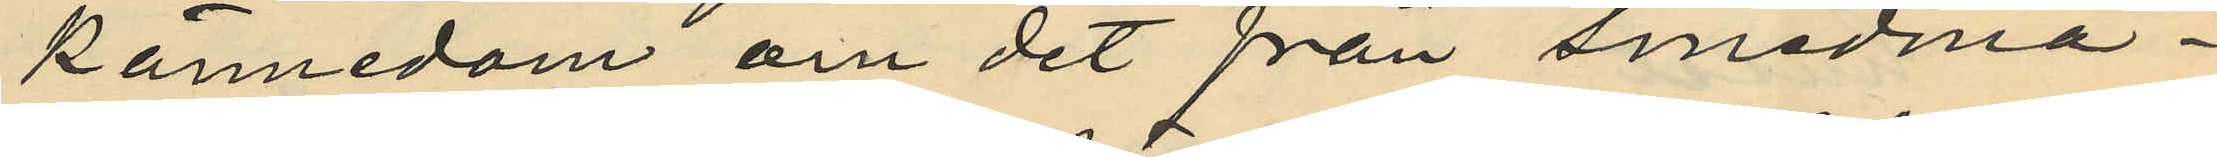kännedom om det från smedmä¬
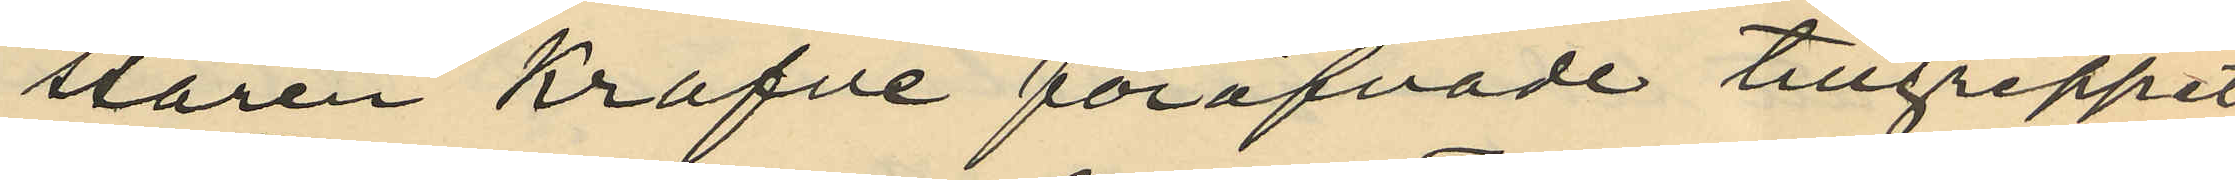staren Krafve föröfvade tillgreppet
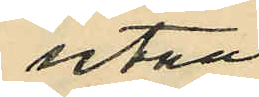utan
